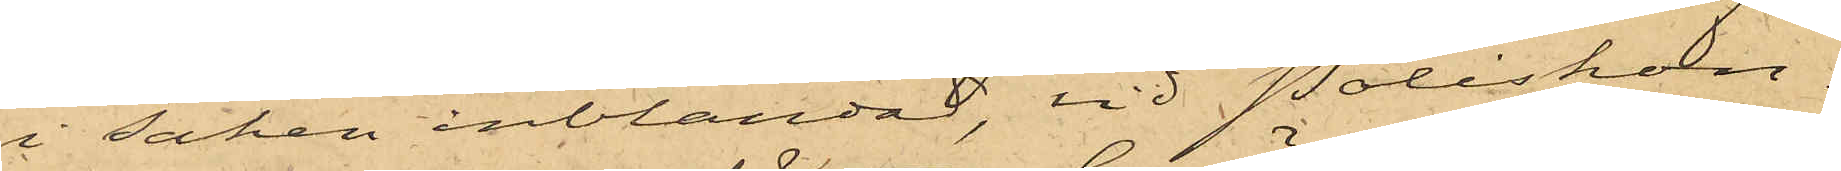i saken inblandad, vid Poliskon¬
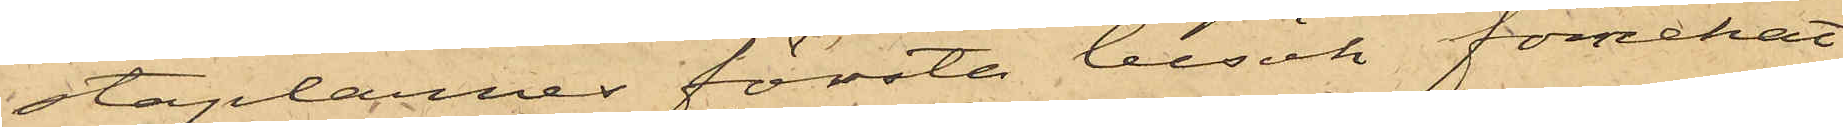staplarnes första besök förnekat
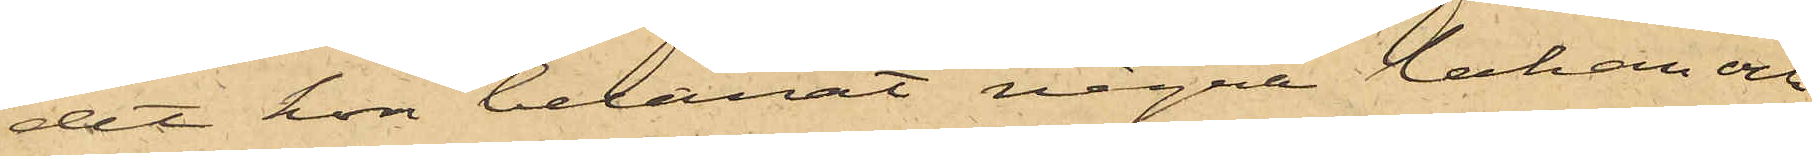det hon belånat några lakan och
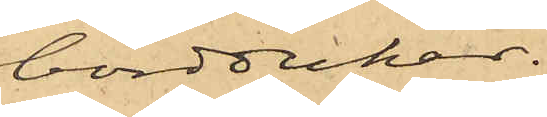borddukar.
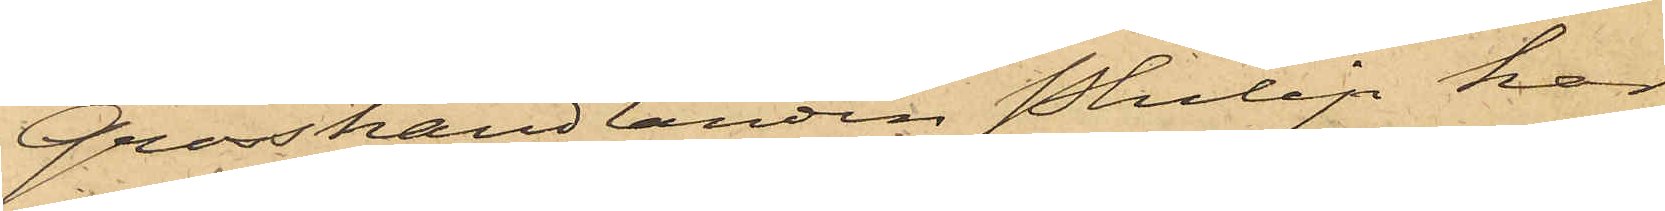Grosshandlanden Philip har
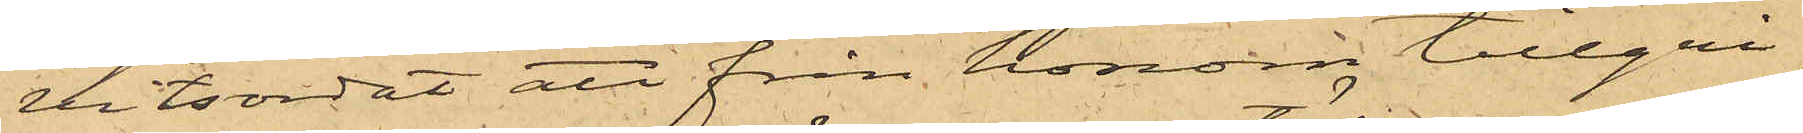vitsordat att från honom tillgri¬
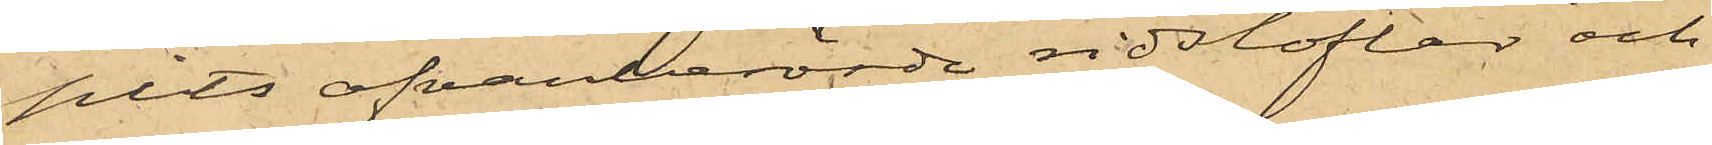pits ofvanberörde ridstöflar och
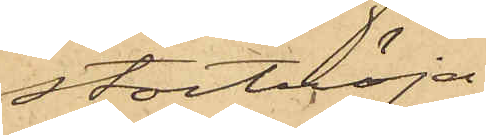stortröja.
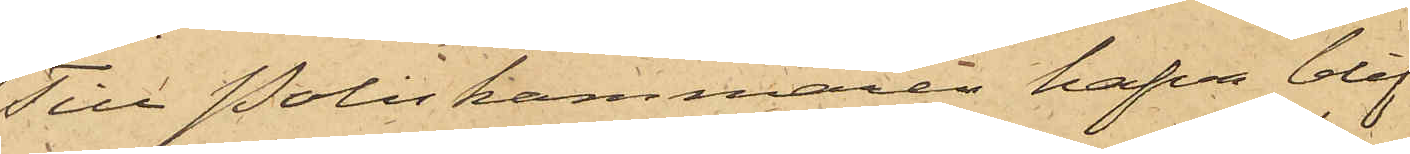Till Poliskammaren hafva blif¬
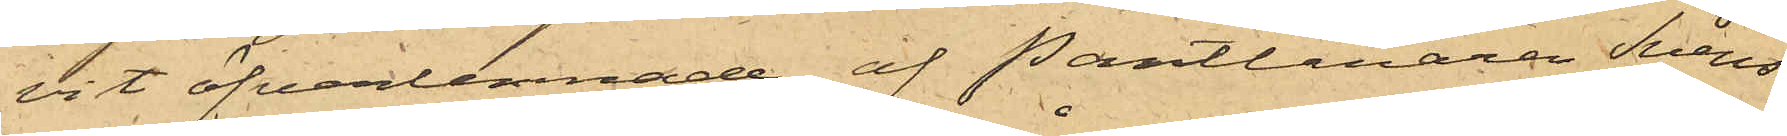vit öfverlemnade af Pantlånaren Svens¬
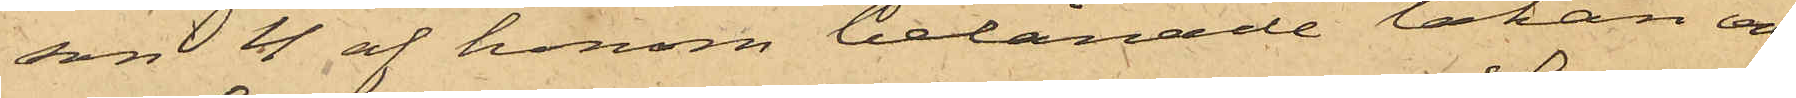son 4 af honom belånade lakan och
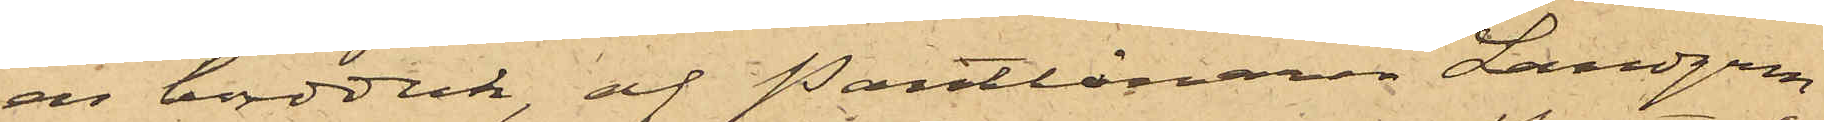en bordduk, af Pantlånaren Landgren
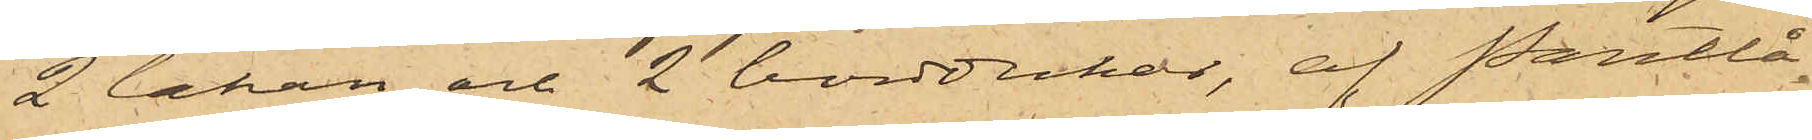2 lakan och 2 borddukar, af Pantlå¬
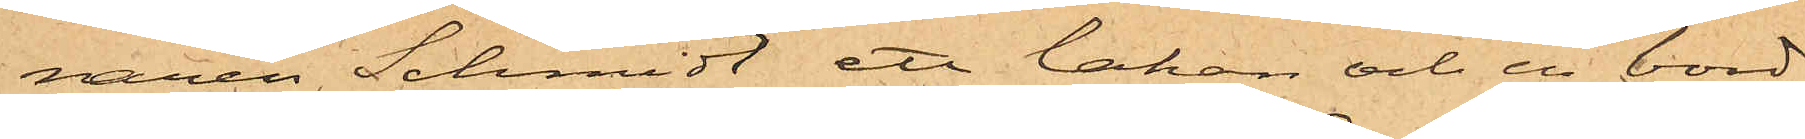naren Schmidt ett lakan och en bord¬
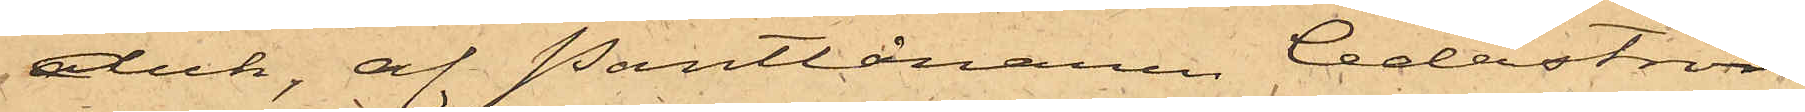duk, af Pantlånaren Cederström
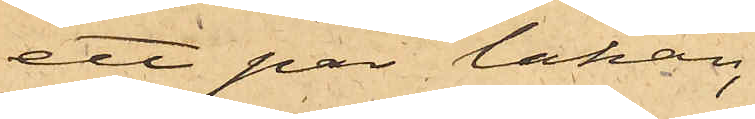ett par lakan,
